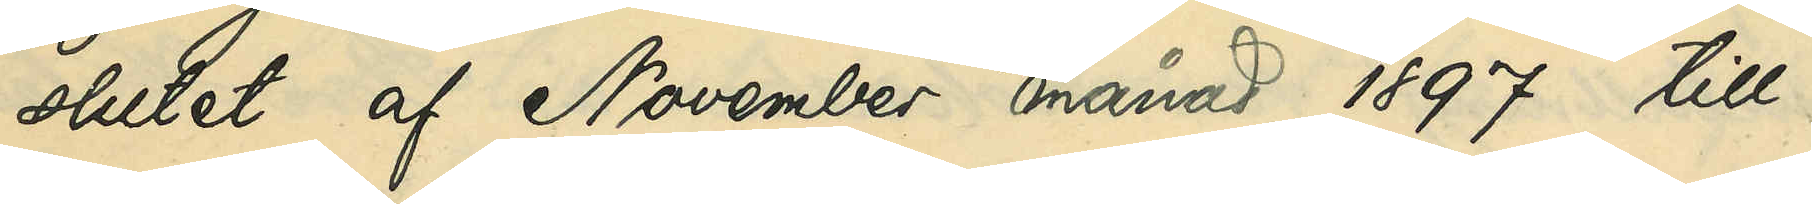slutet af November månad 1897 till
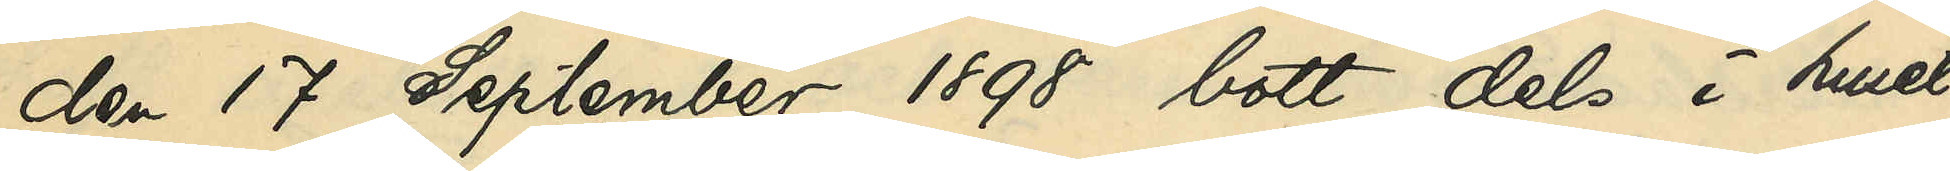den 17 September 1898 bott dels i huset
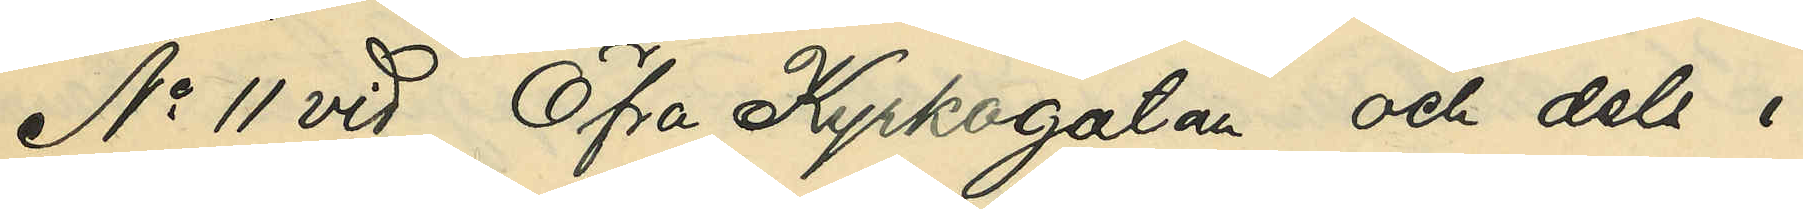No 11 vid Östra Kyrkogatan och dels i
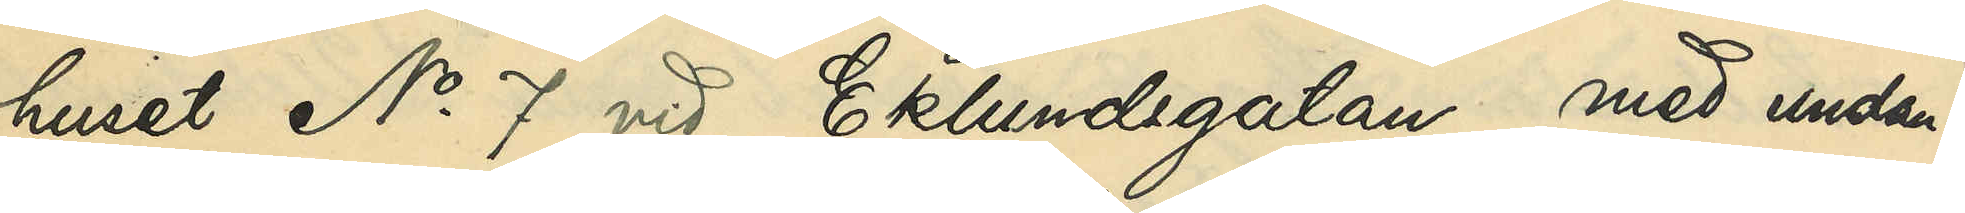huset No 7 vid Eklundsgatan med undan¬
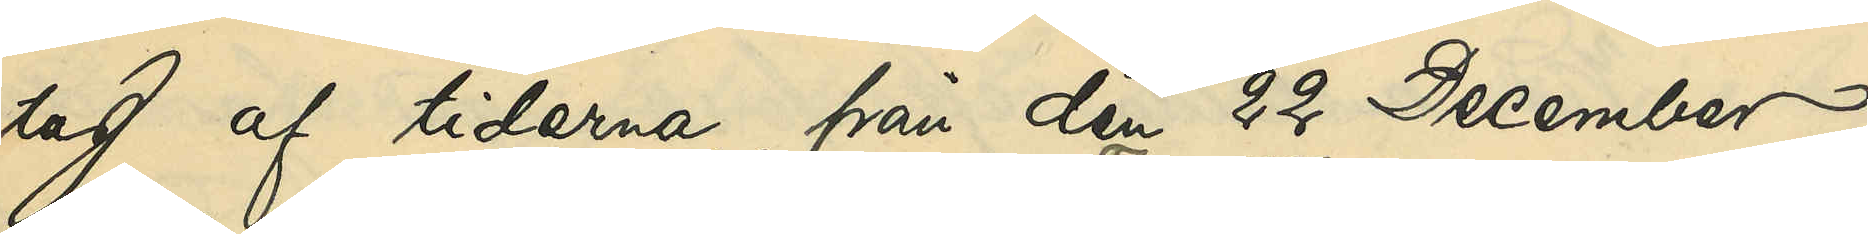tag af tiderna från den 22 December
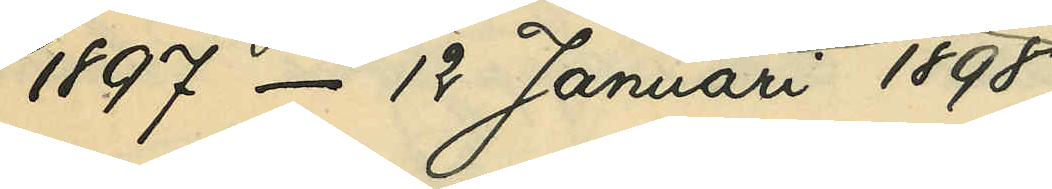1897 - 12 Januari 1898,
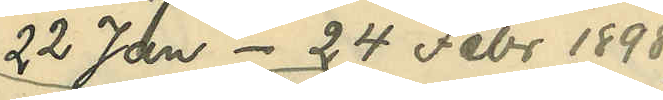22 Jan. - 24 Febr. 1898,
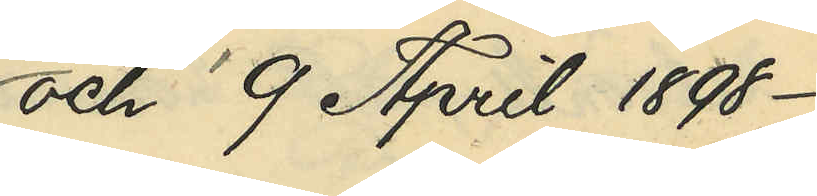och 9 April 1898 -
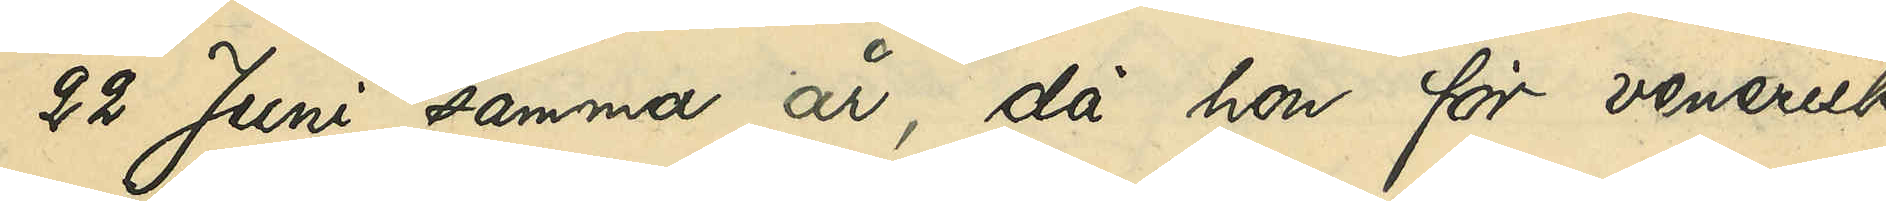 - 22 Juni samma år, då hon för venerisk
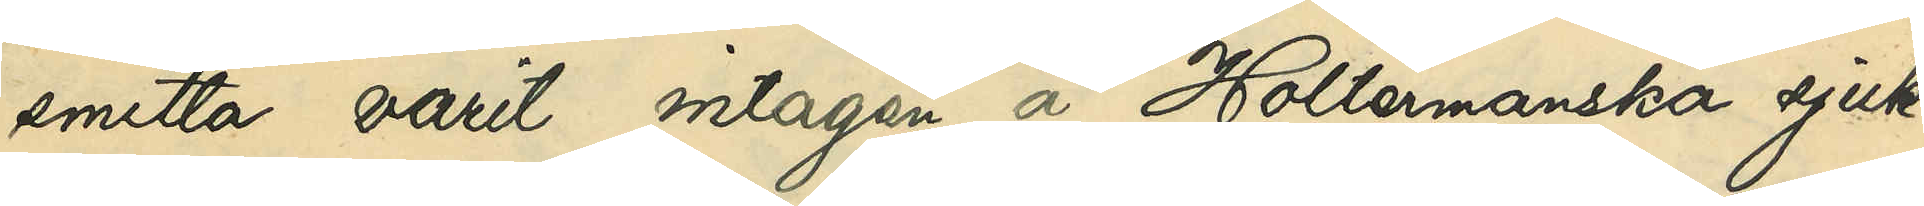smitta varit intagen å Holtermanska sjuk¬
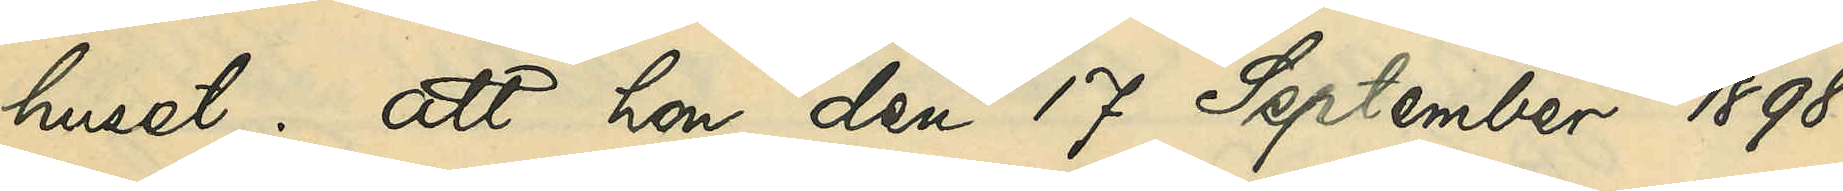huset; att hon den 17 September 1898
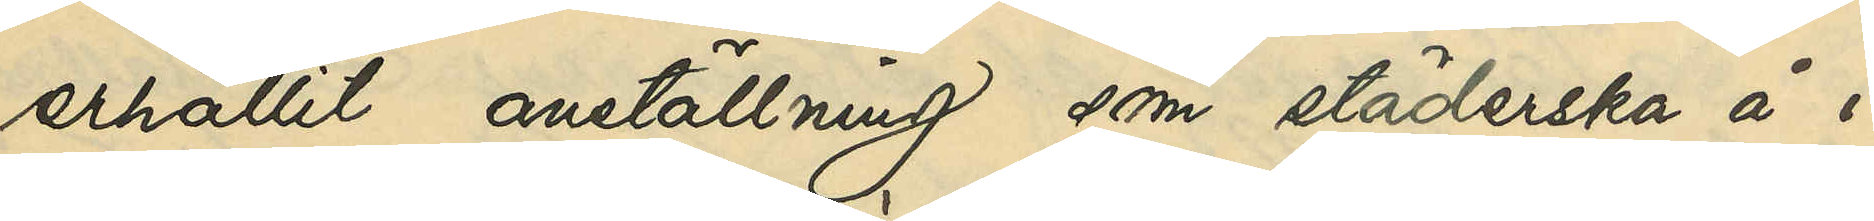erhållit anställning som städerska å i
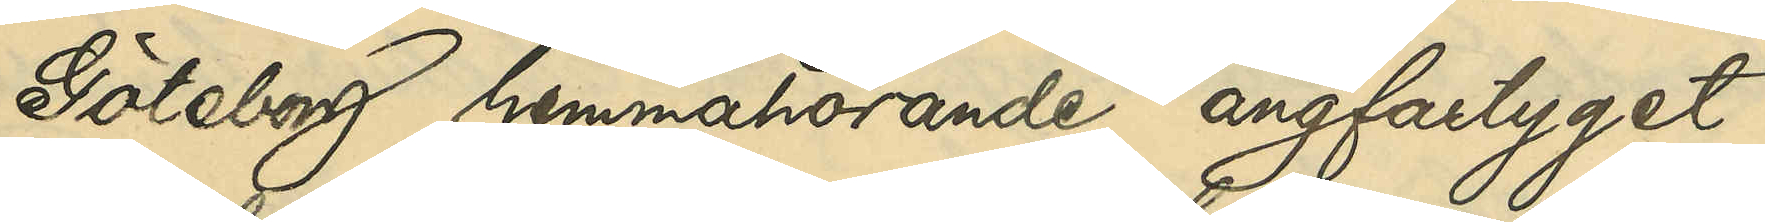Göteborg hemmahörande ångfartyget
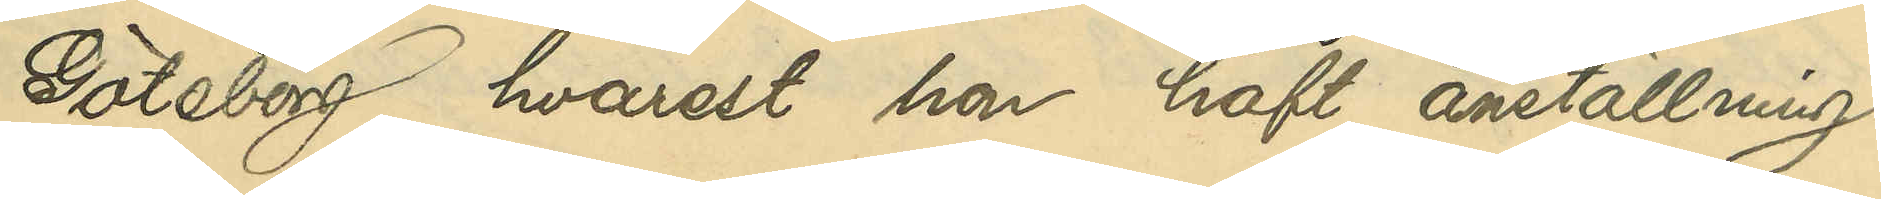Göteborg, hvarest hon haft anställning
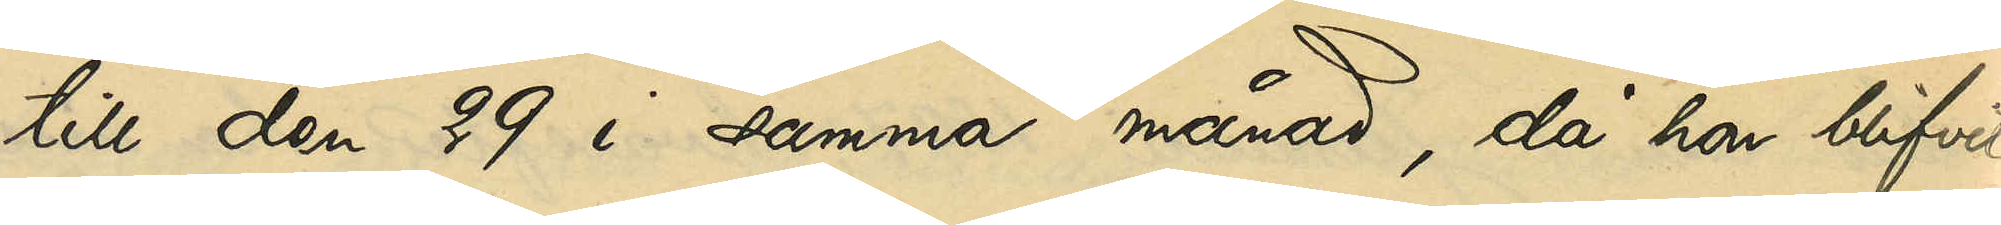till den 29 i samma månad, då hon blifvit
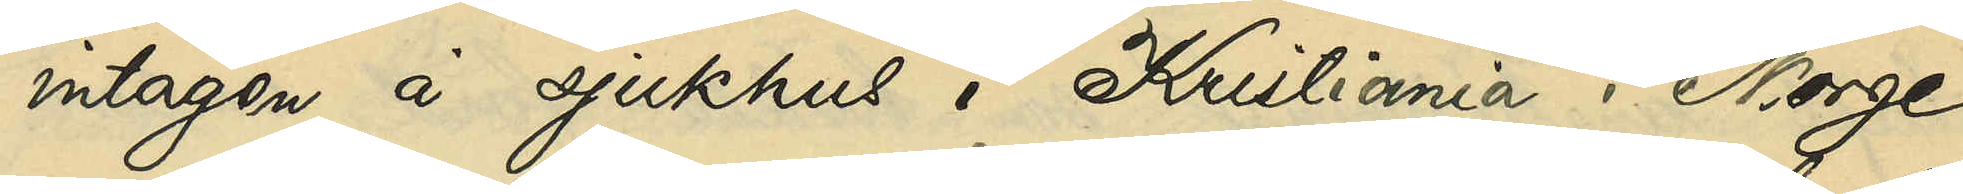intagen å sjukhuset i Kristiania i Norge
